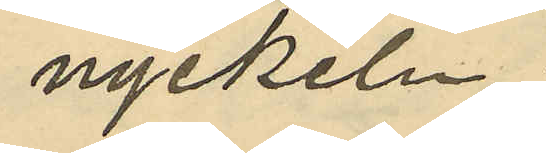nyckeln;
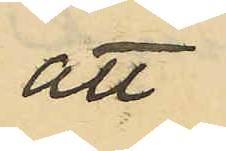att
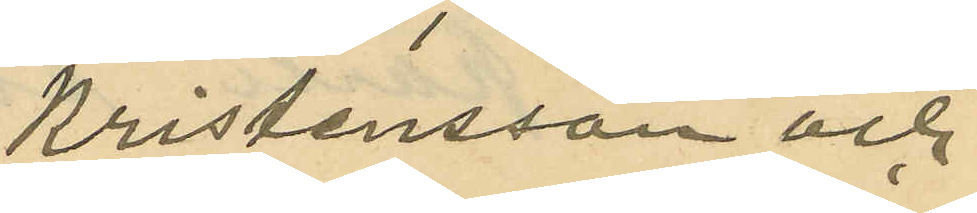Kristensson och
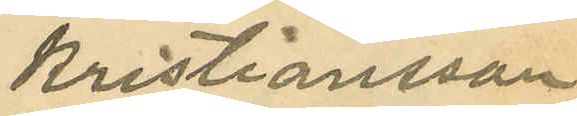Kristiansson
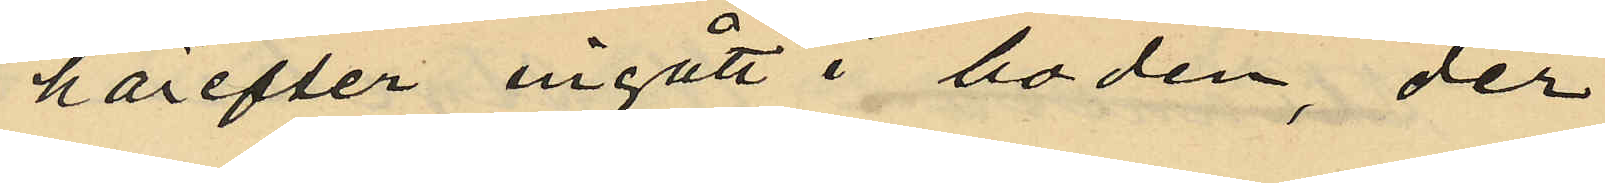härefter ingått i boden, der
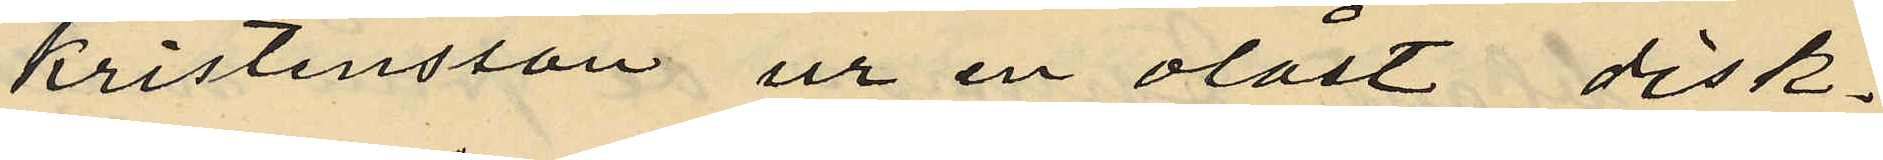Kristensson ur en olåst disk¬
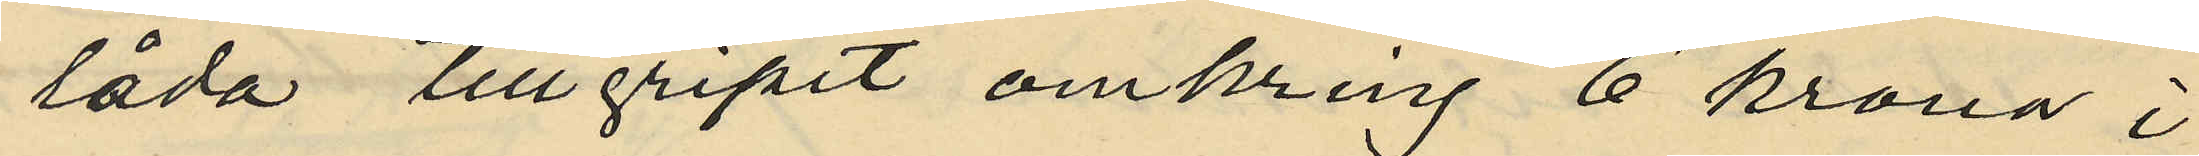låda tillgripit omkring 6 kronor i
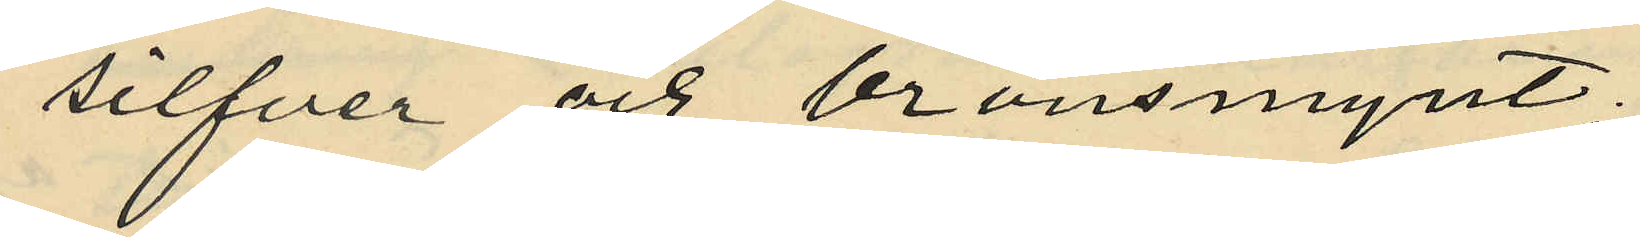silfver och bronsmynt;
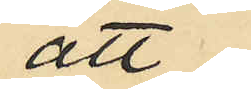att
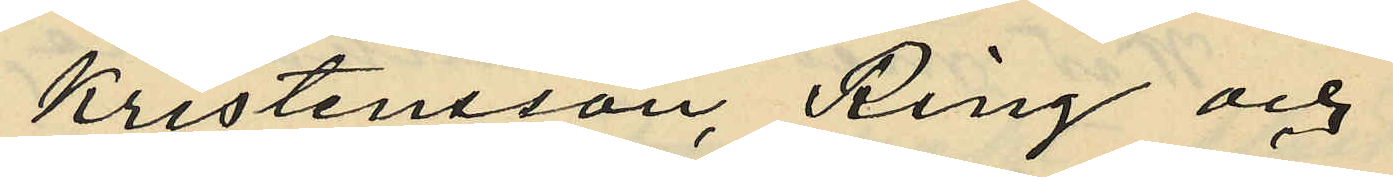Kristensson, Ring och
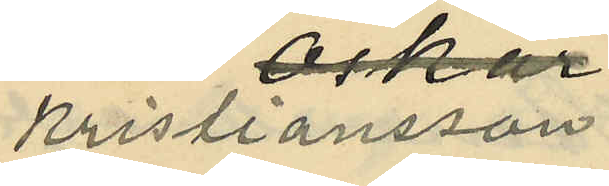Kristiansson
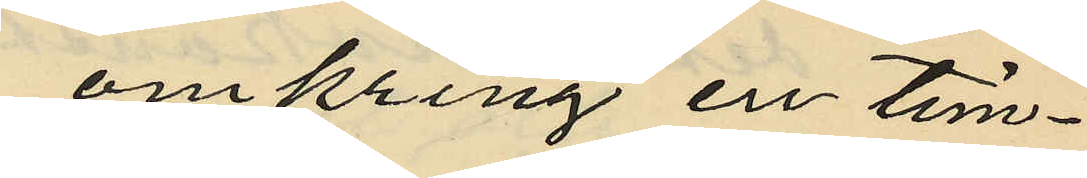omkring en tim¬
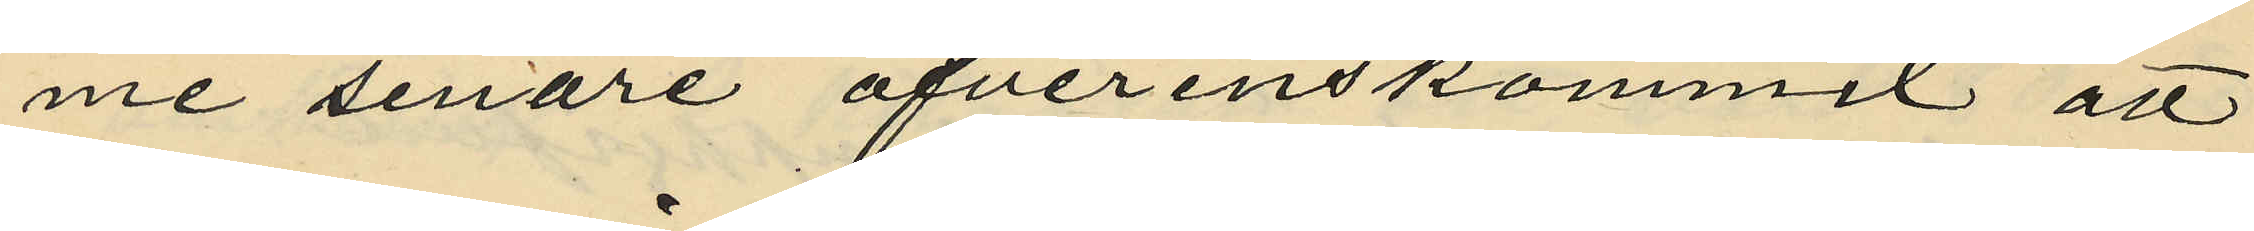me senare öfverenskommit att
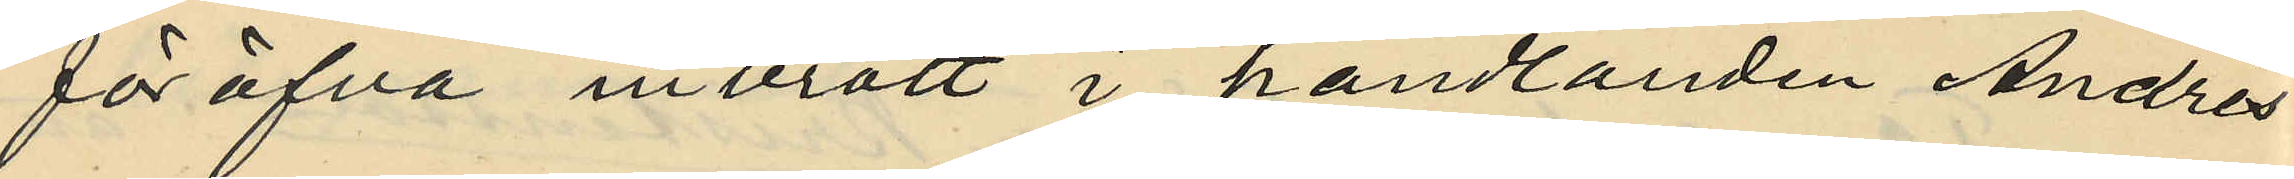föröfva inbrott i handlanden Andrés
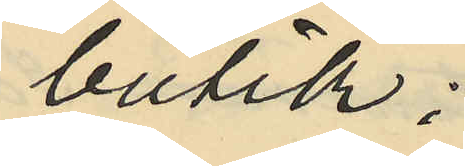butik;
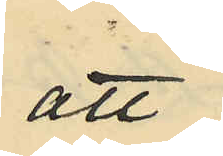att
